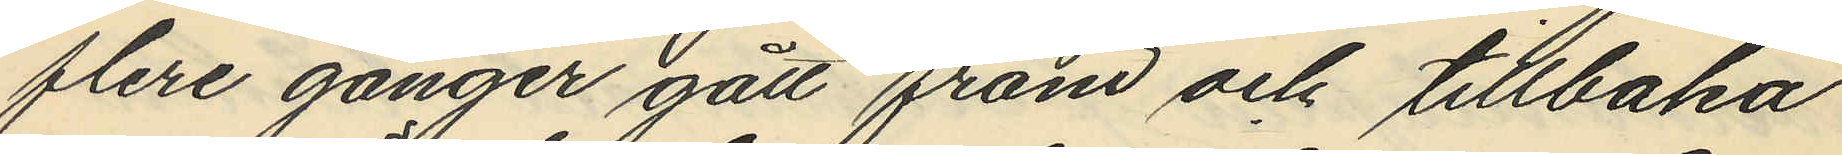flere gånger gått fram och tillbaka
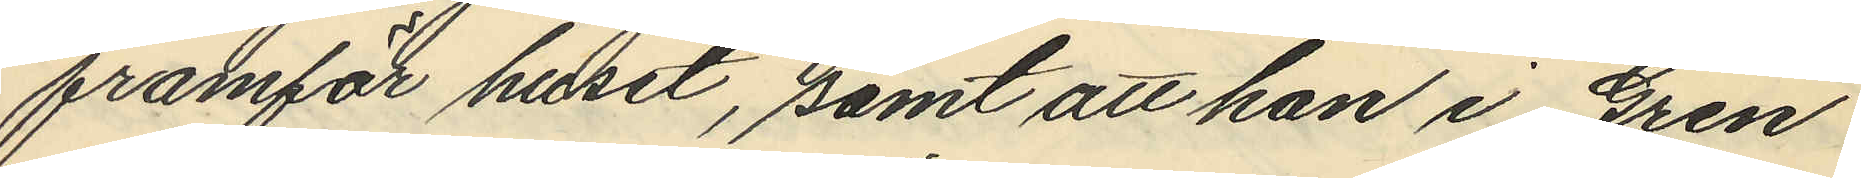framför huset, samt att han i Gren
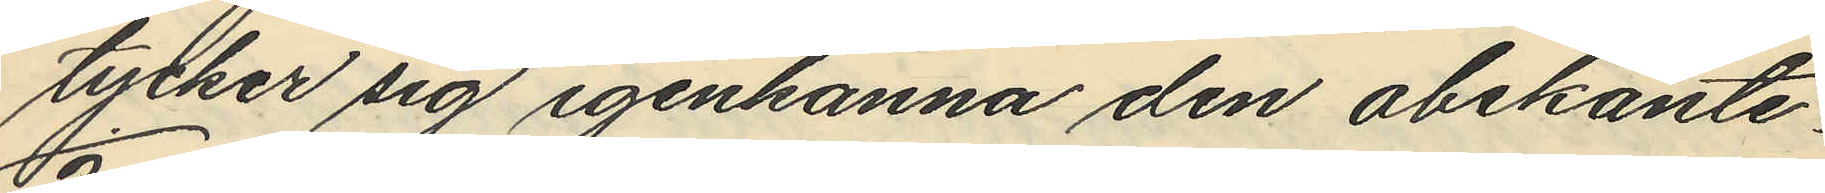tycker sig igenkänna den obekante.
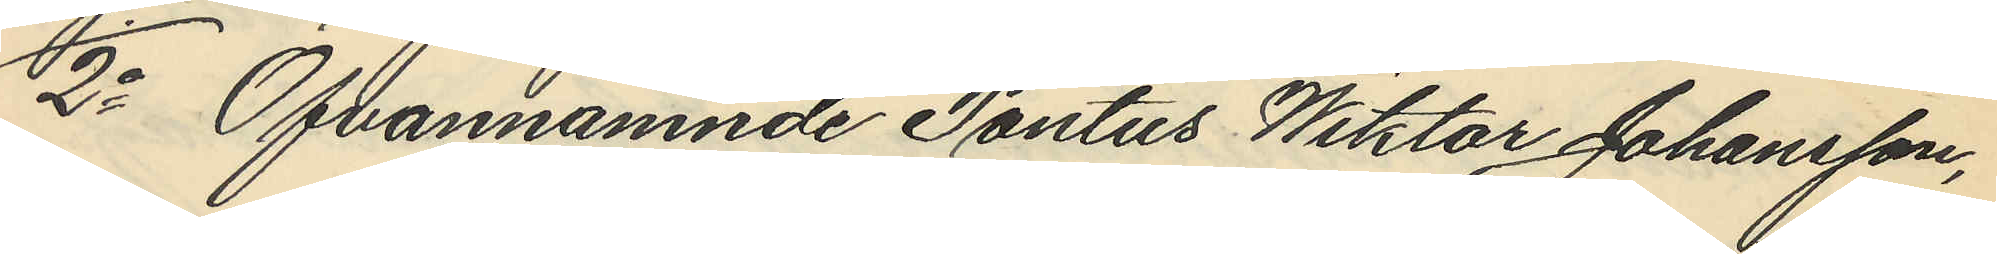2o Ofvannämnde Pontus Wiktor Johansson,
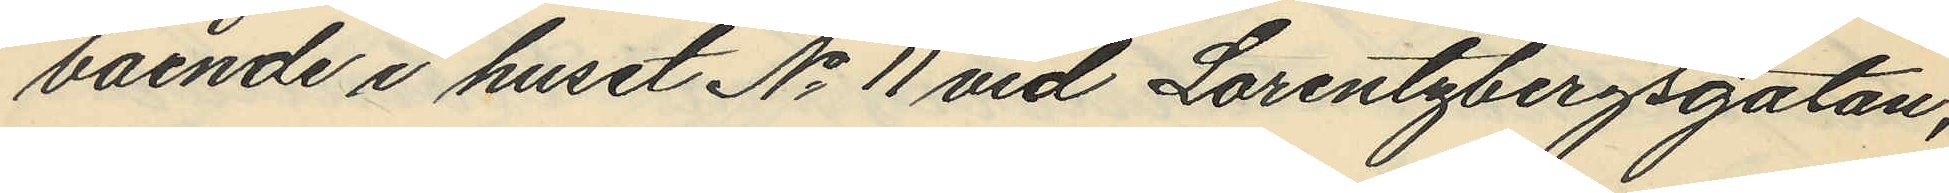boende i huset No 11 vid Lorentzbergsgatan,
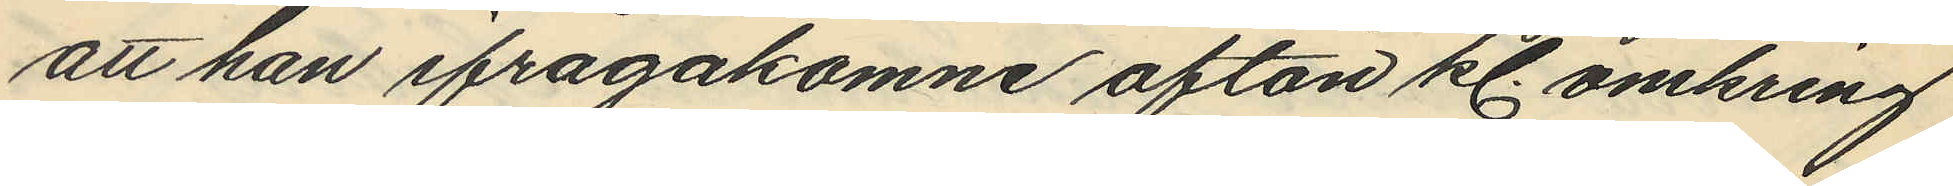att han ifrågakomne afton kl. omkring
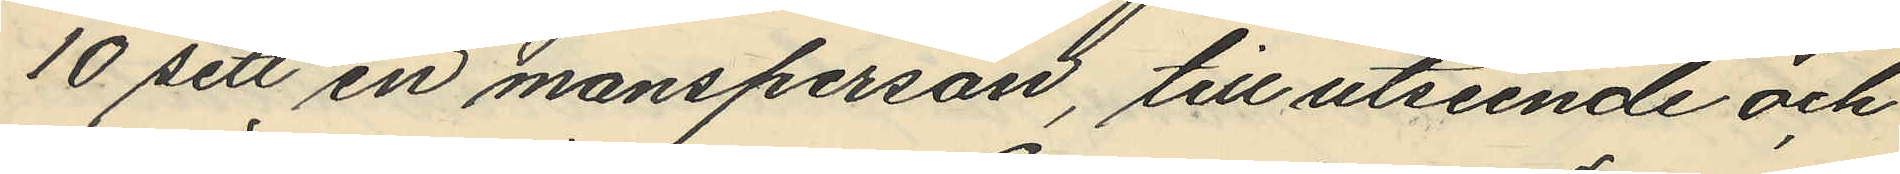10 sett en mansperson, till utseende och
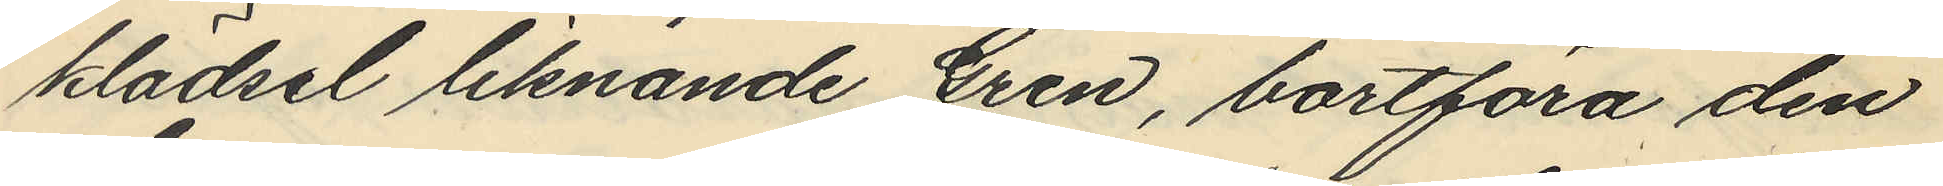klädsel liknande Gren, bortföra den
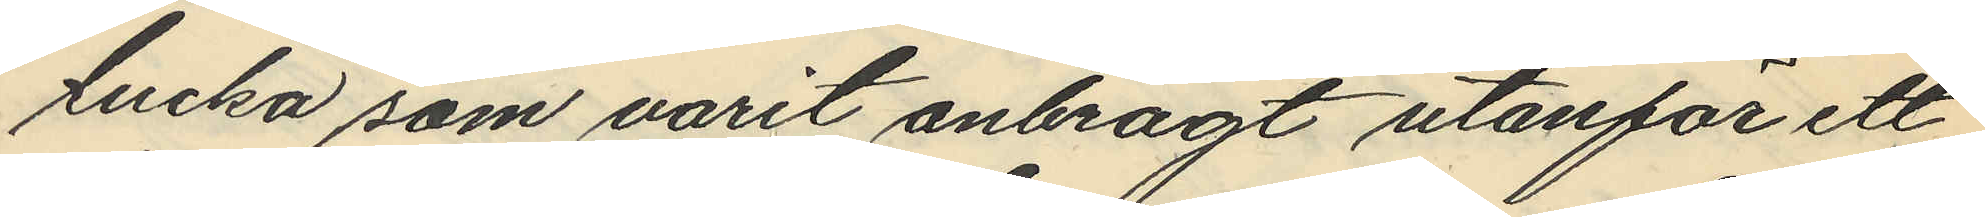lucka som varit anbragt utanför ett
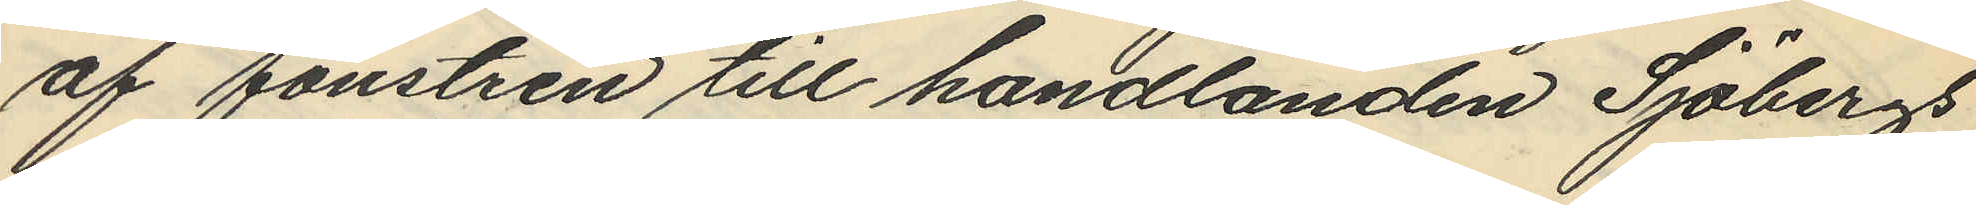af fönstren till handlanden Sjöbergs
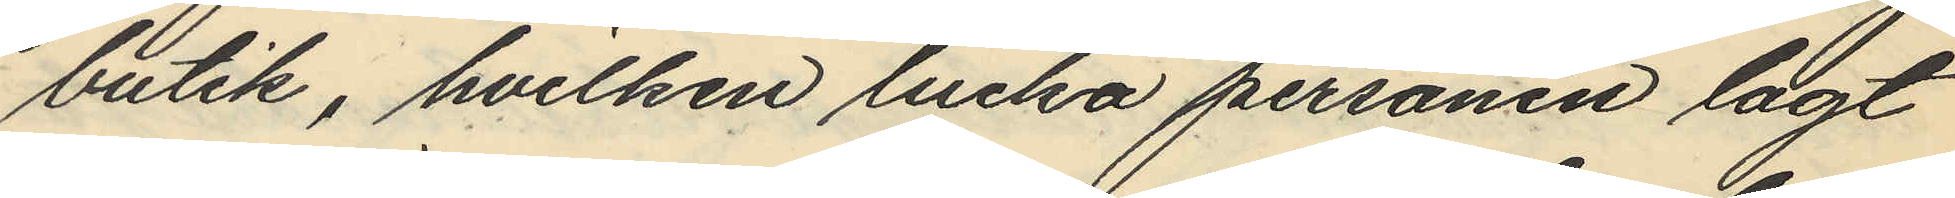butik, hvilken lucka personen lagt
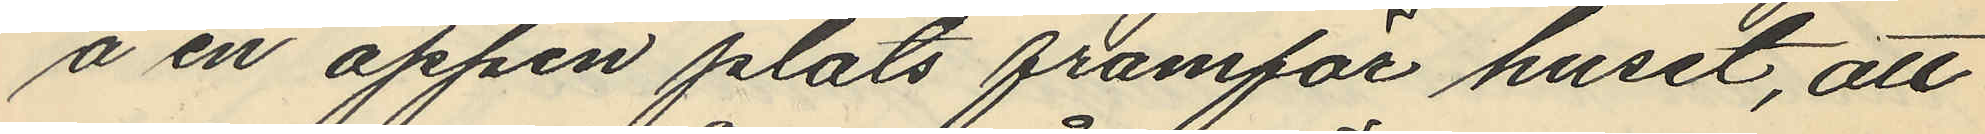å en öppen plats framför huset, att
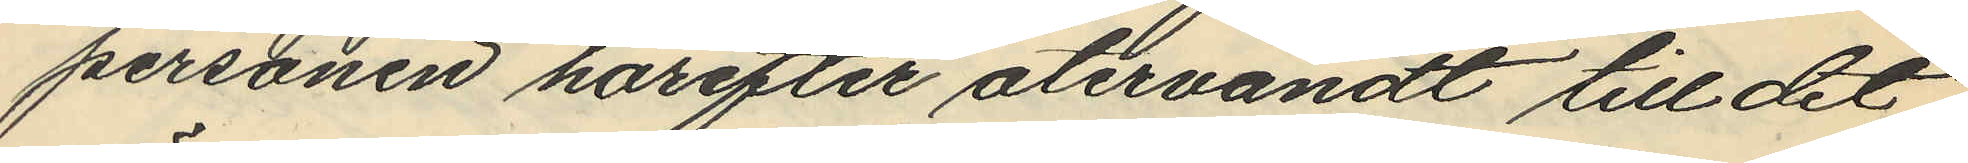personen härefter återvändt till det
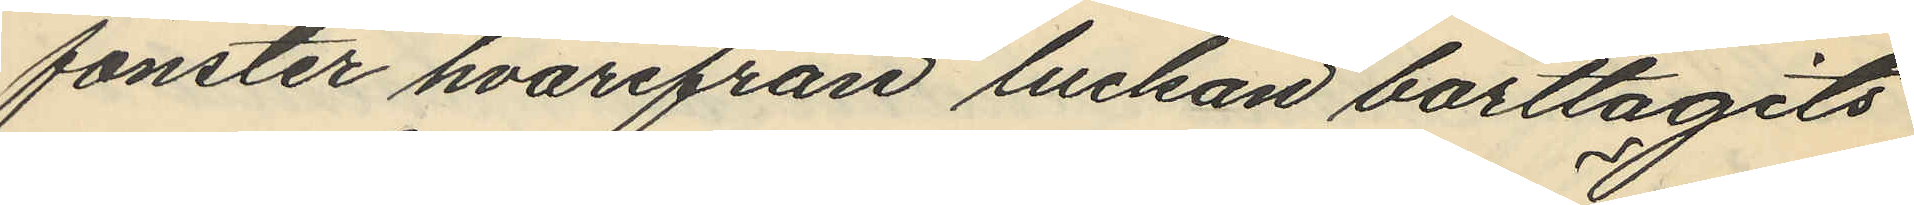fönster hvarifrån luckan borttagits
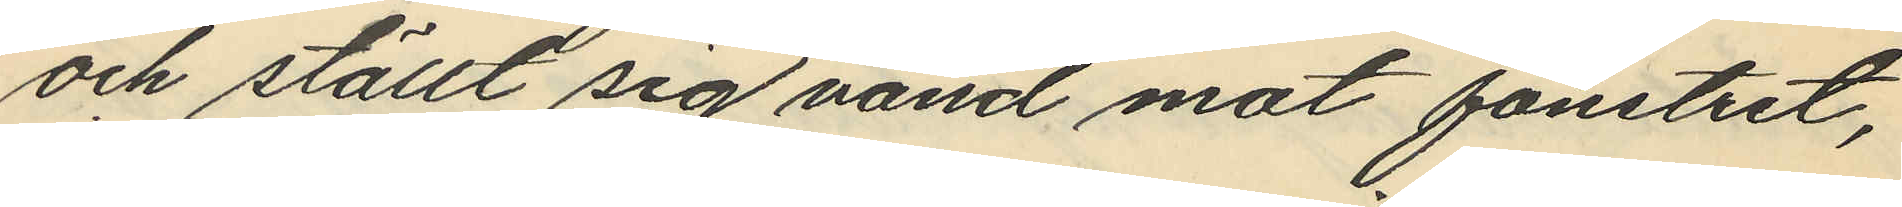och ställt sig vänd mot fönstret,
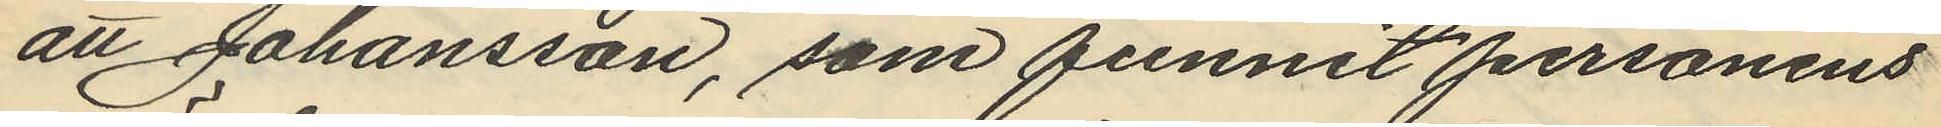att Johansson, som funnit personens
